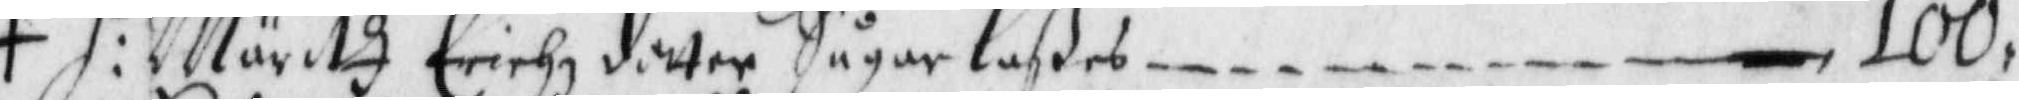+ H: Märitt Erichz dotter SågarLaßes — 100,
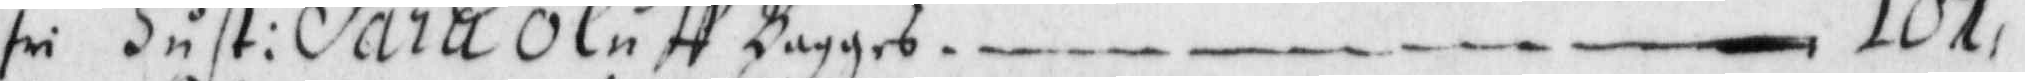fri Hust: Sara Oluff Bagges — 107,
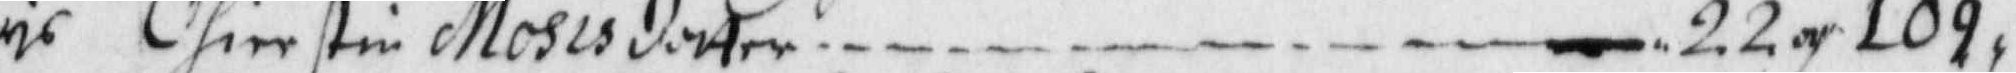ris Chierstin Mosisdotter — 22 och 109,
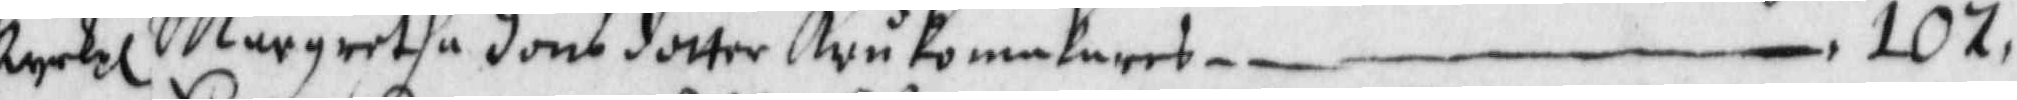kyrkpl Margretha Jons dotter Krukomakares — 107,
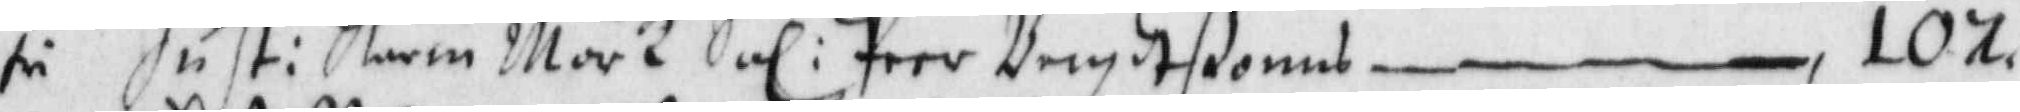fri Hust: Karin Mörk Sal: Peer Bengdtßonns — 107,
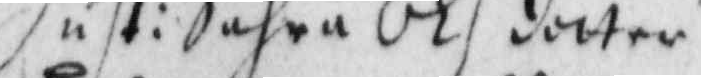Hust: Sahra Olsdotter
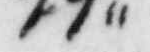99,,
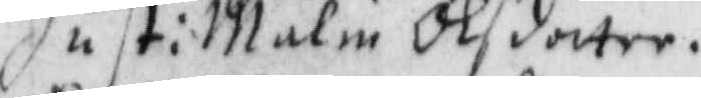Hust: Malin Olsdotter
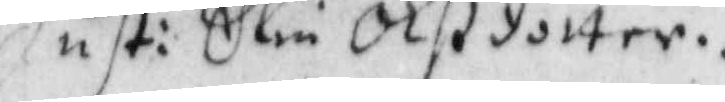Hust: Elin Olßdotter.
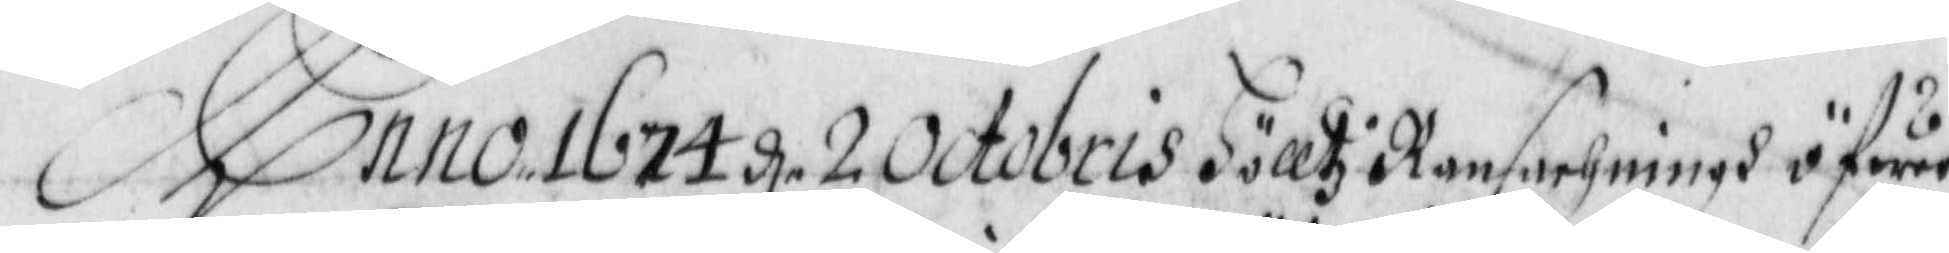Anno 1674 d. 2 Octobris Hölltz Ransachningh öfwer
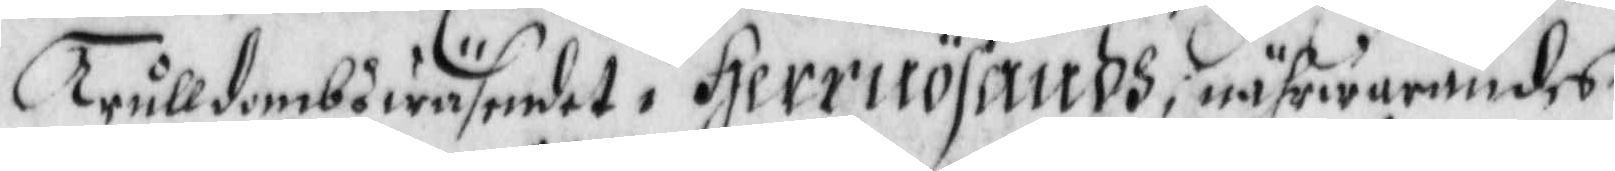Trulldombswäsendet i Herrnösandh i nägrwarandes
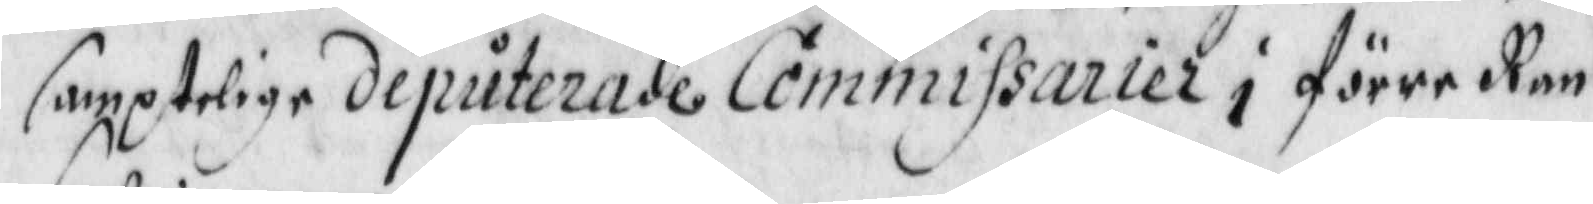samptelige deputerade Commissarier i förre Ran¬
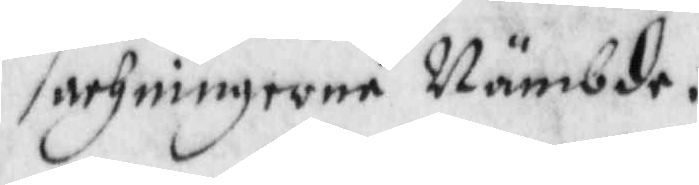sachningerne Nämbde.
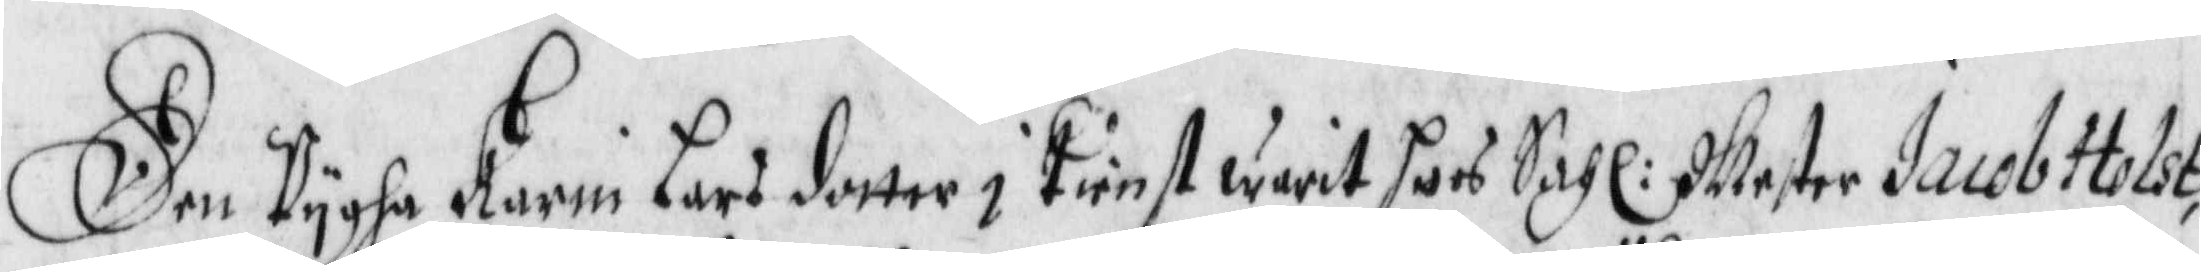Den Pygha Karin Lars dotter i Tienst warit hoos Sahl: Mester Jacob Holst,
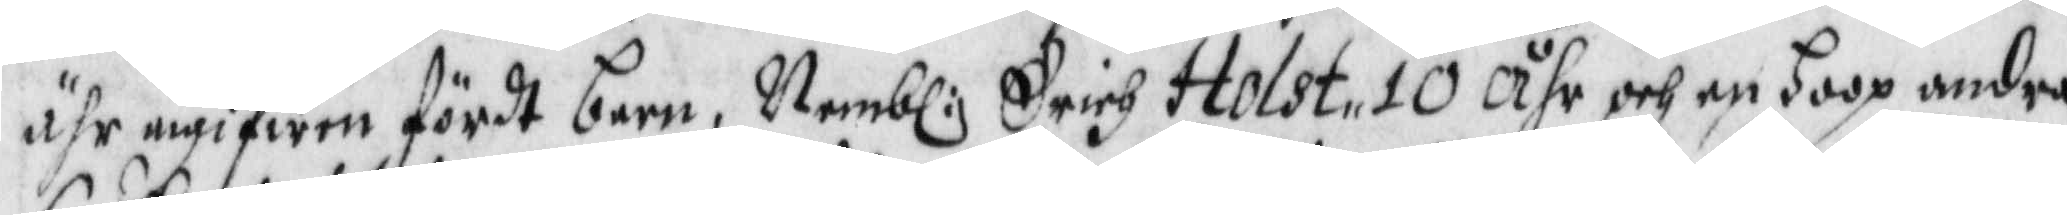ähr angifwen först barn, Nembl: Erich Holst, 10 åhr och en hoop andra
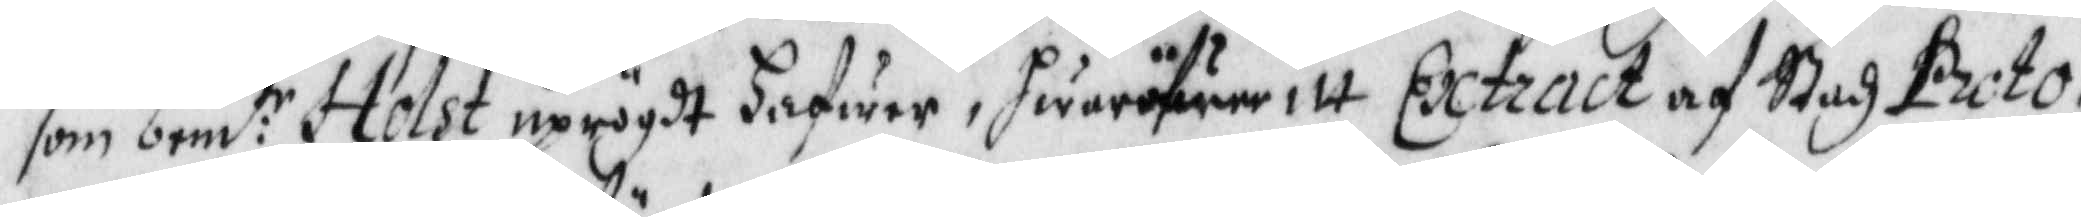som ben:te Holst uprögdt hafwer, hwaröfwer itt Extract af Stadz Proto¬
